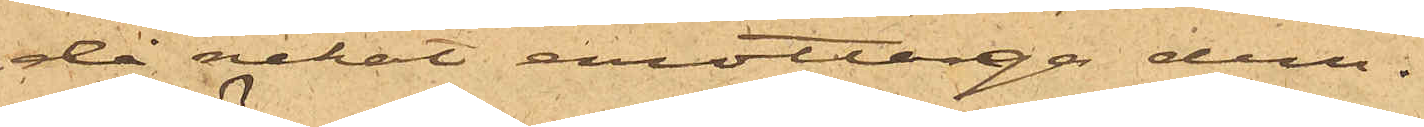då nekat emottaga dem.
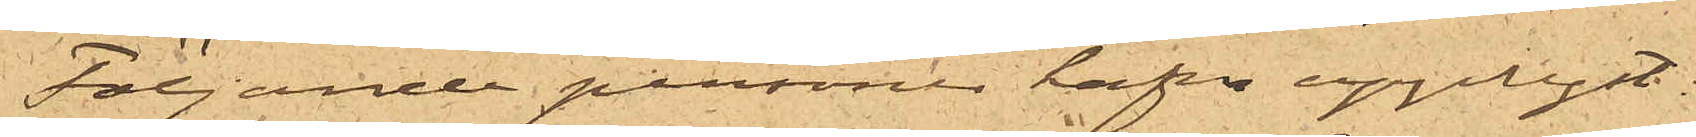Följande personer hafva upplyst:
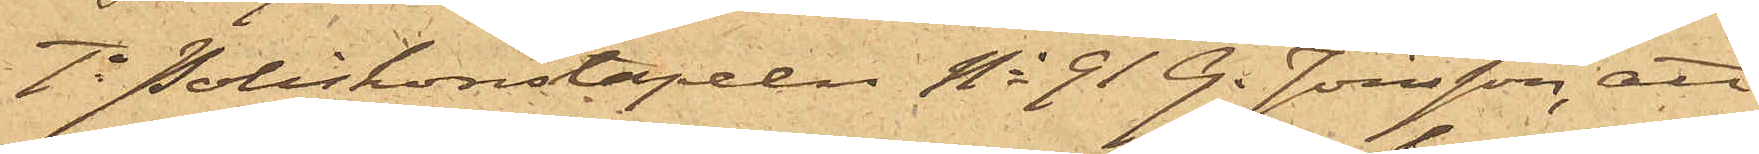1o Poliskonstapeln No 91 G. Jönsson, att
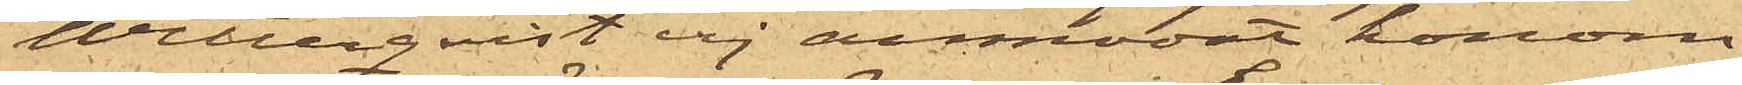Wetterqvist ej anmodat honom
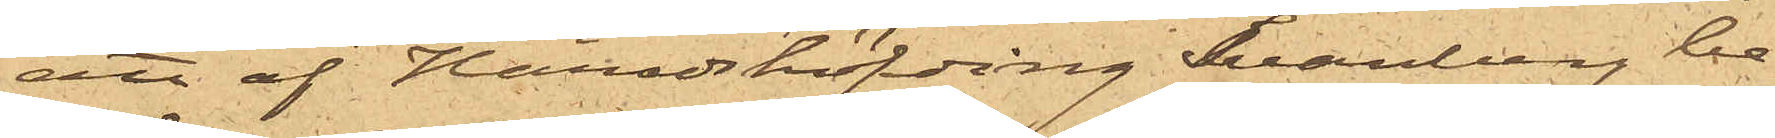att af Häradshöfding Svanberg be¬
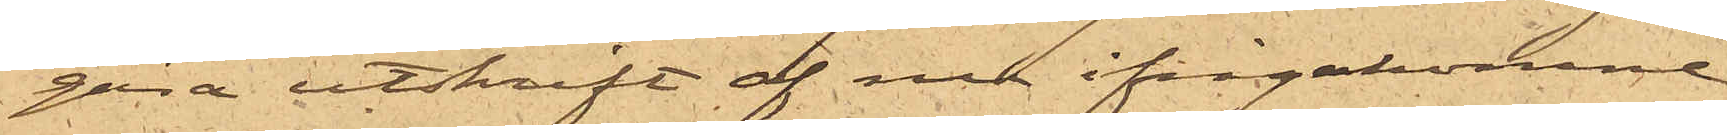gära utskrift af nu ifrågakomne
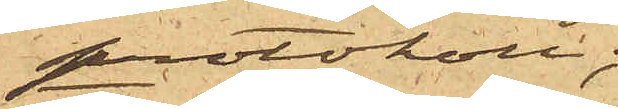protokoll;
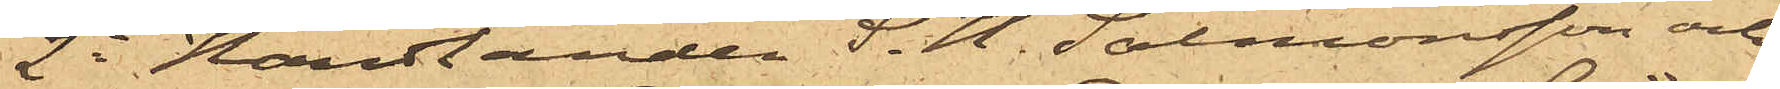2o Handlanden S. H. Salmonsson och
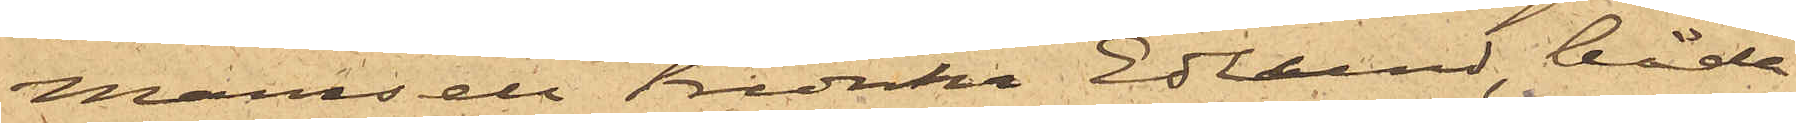Mamsell Fredrika Edlund, båda
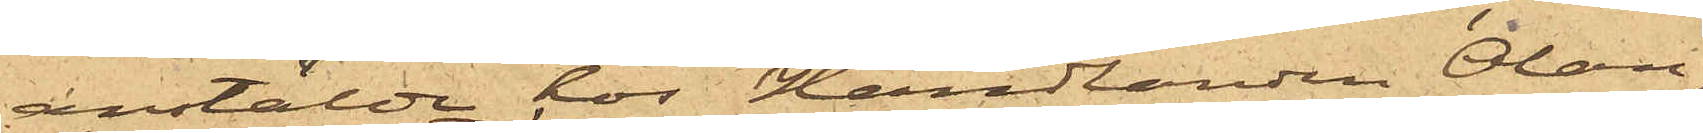anstälde hos Handlanden Olán,
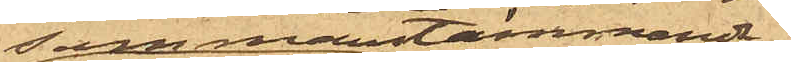sammanstämmande,
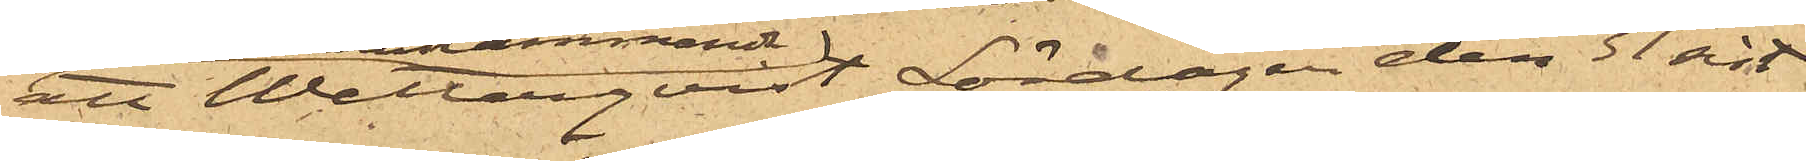att Wetterqvist Lördagen den 31 sist.
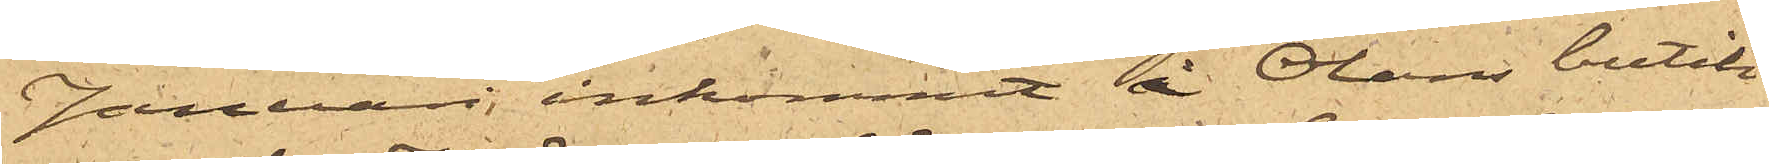Januari, inkommit i Oláns butik
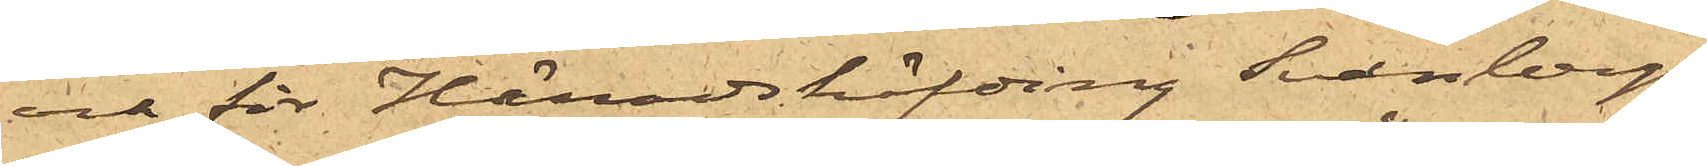och för Häradshöfding Svanbergs
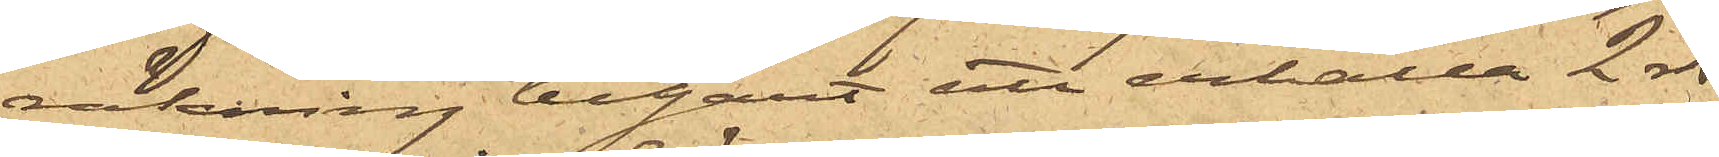räkning begärt att erhålla 2 rdr
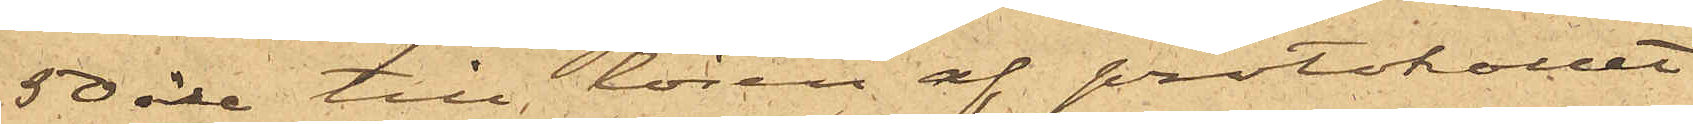50 öre till lösen af protokollet,
